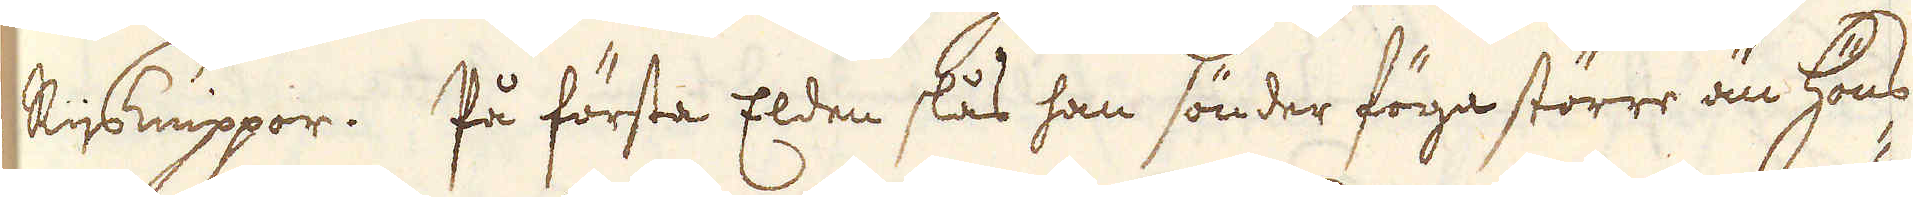Rijsknippor. På första Elden slås han sönder föga större än höns-
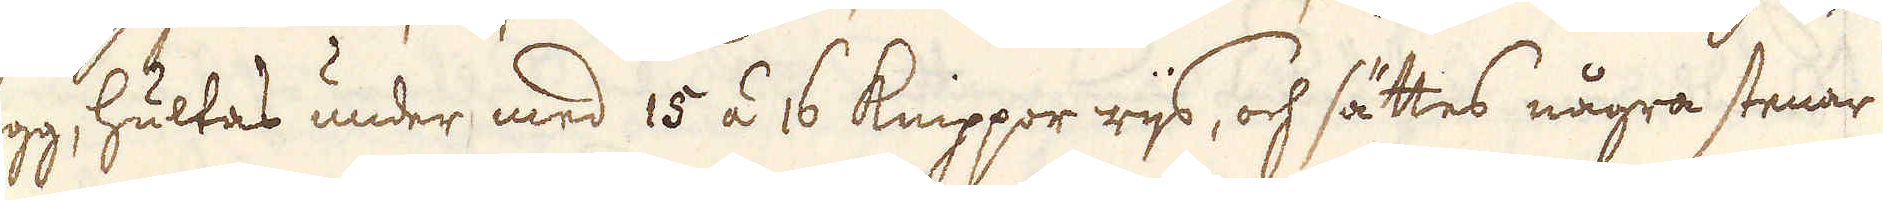ägg, hultas under med 15 á 16 knippor rijs, och sättes några stenar
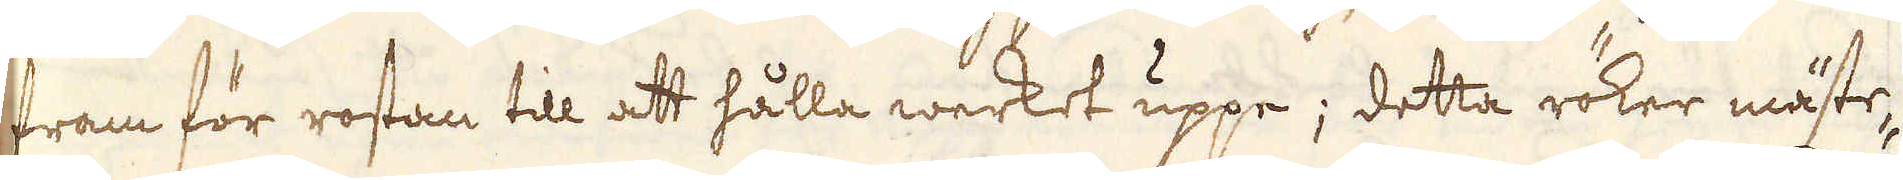fram för rostan till att hålla werket uppe; detta röker mäste-
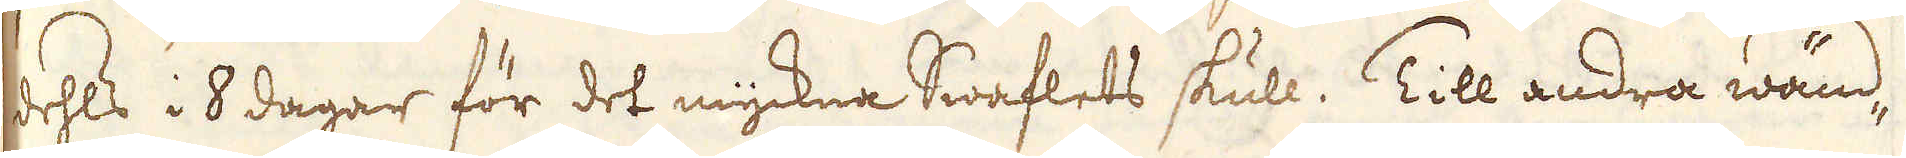dehls i 8 dager för det myckna Swaflets skull. Till andra wänd-
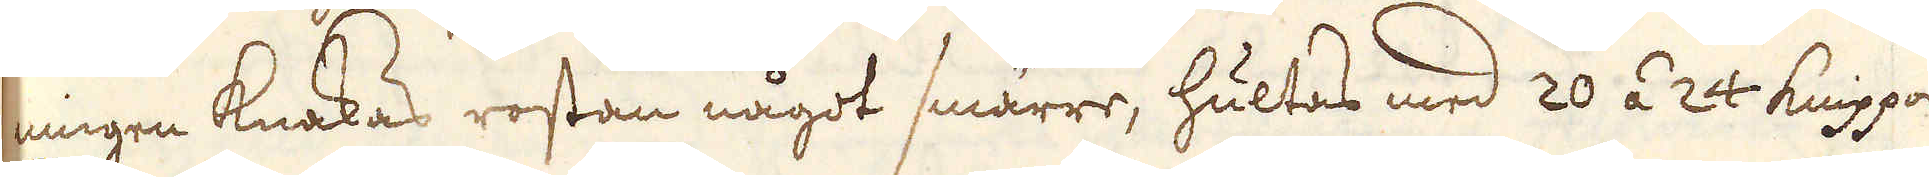ningen knakas rostan något smärre, hultas med 20 á 24 knippor
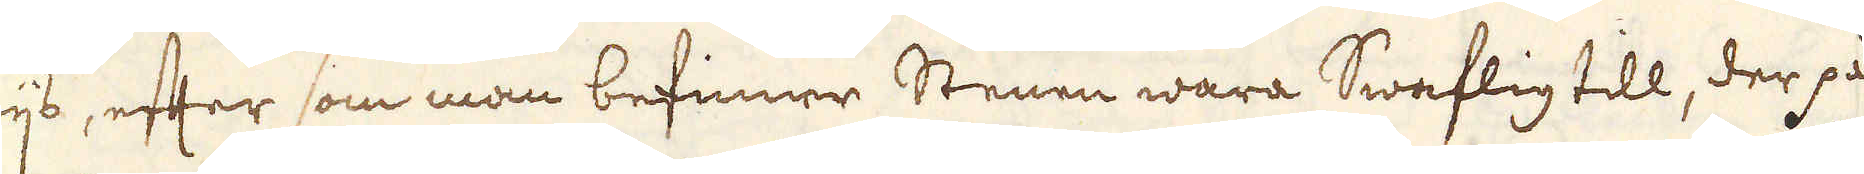rijs, efter som man befinner Stenen wara Swaflig till, der på
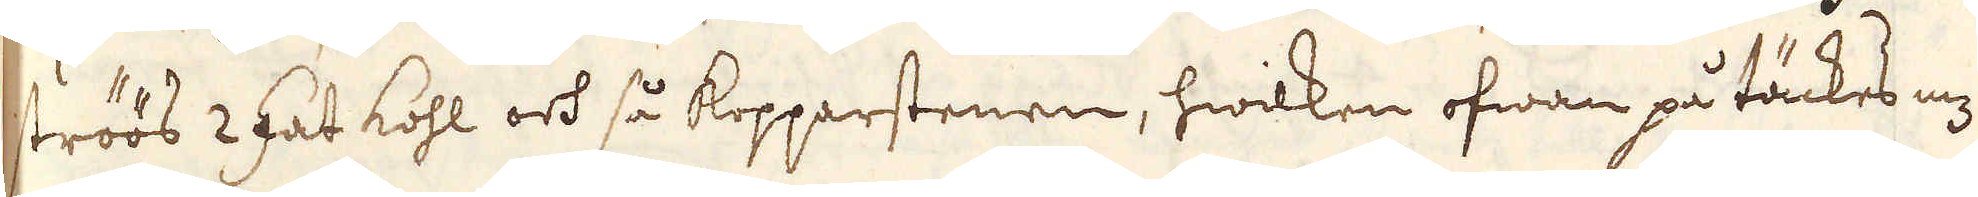ströös 2 fat kohl och så kopparstenen, hwilken ofwan på täckes med
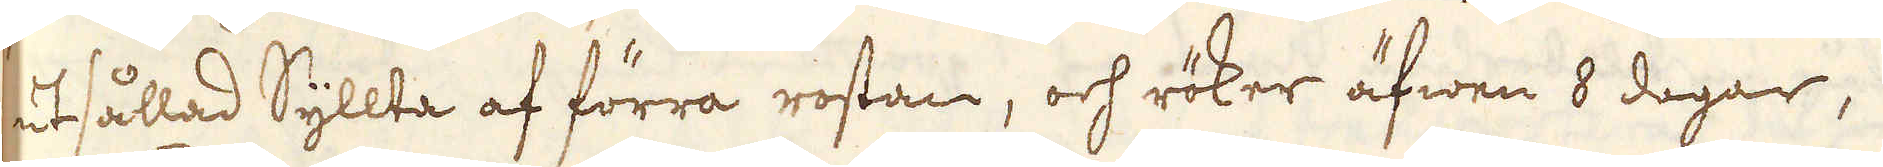utsållad Syllta af förra rostan, och röker äfwen 8 dagar,
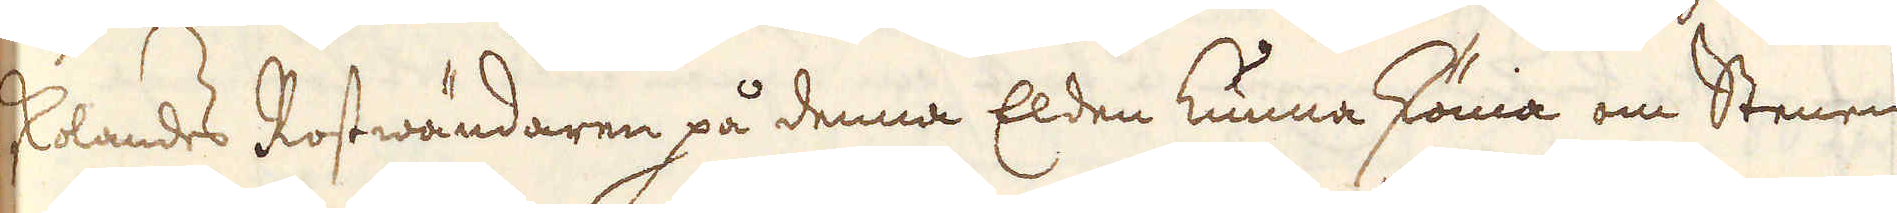skolandes Rostwändaren på denna Elden kunna skönia om Stenen
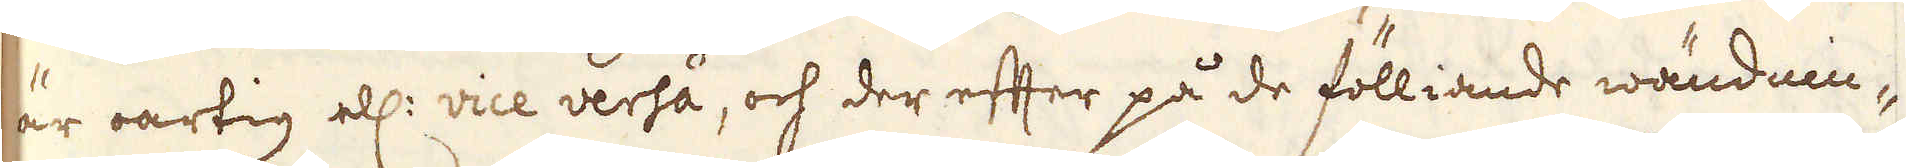är oartig ell: vice verså, och der efter på de fölliande wändnin-
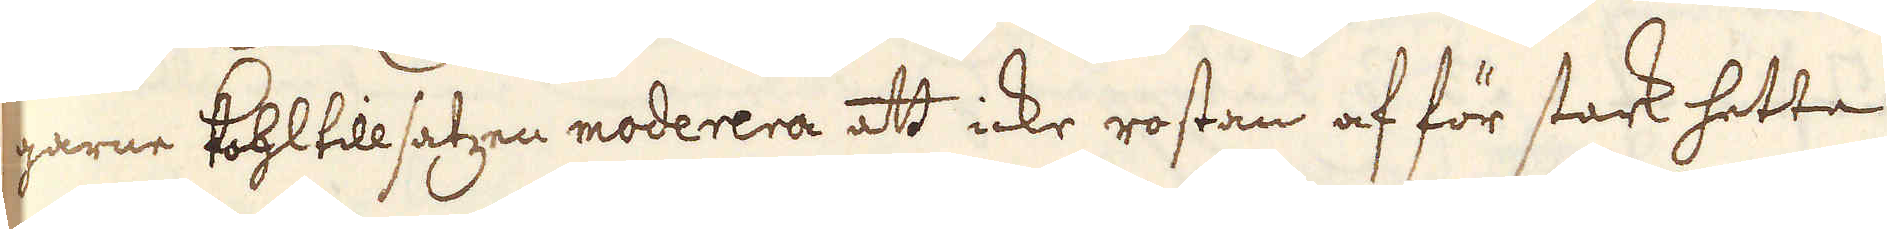garne Kohltillsatzen moderera att icke rostan af för stark hetta
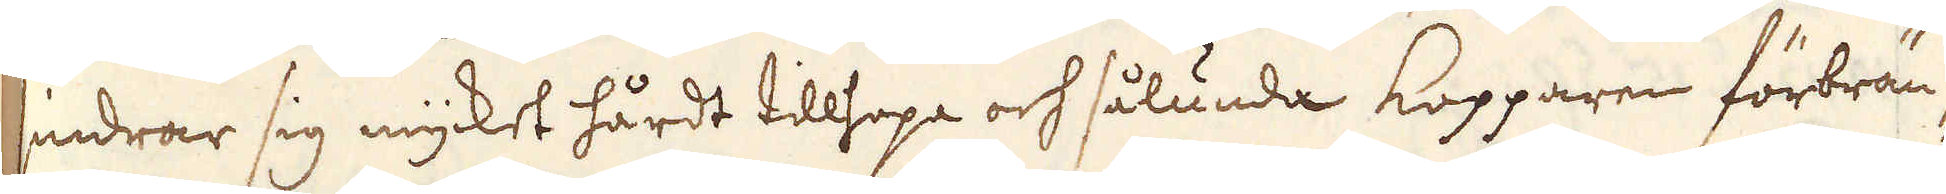sindrar sig mycket hårdt tillhopa och sålunda kopparen förbrän-
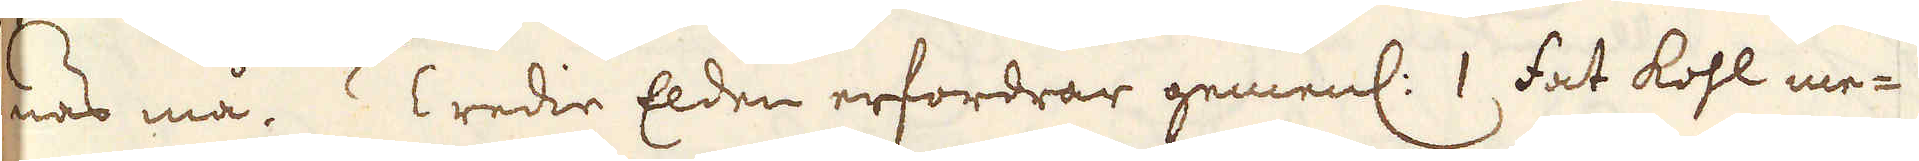nas må.  Tredie Elden erfordrar gemenl: 1 fat kohl me-
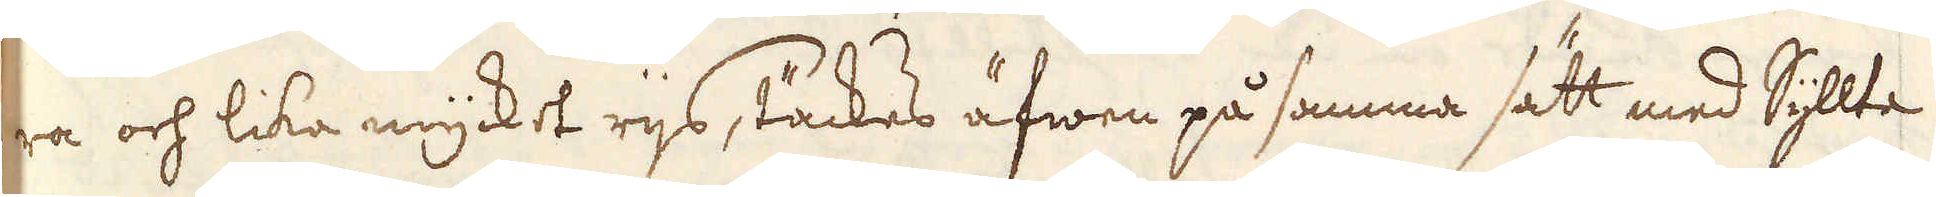ra och lika mycket rijs, täckes äfwen på samma sätt med Syllta
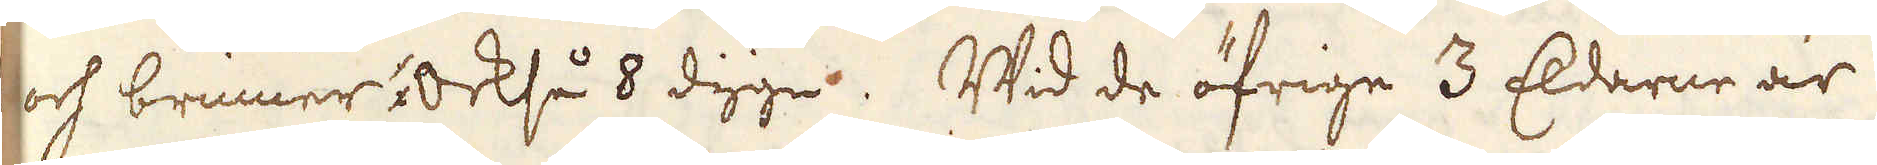och brinner också 8 dygn. Wid de öfrige 3 Eldarne är
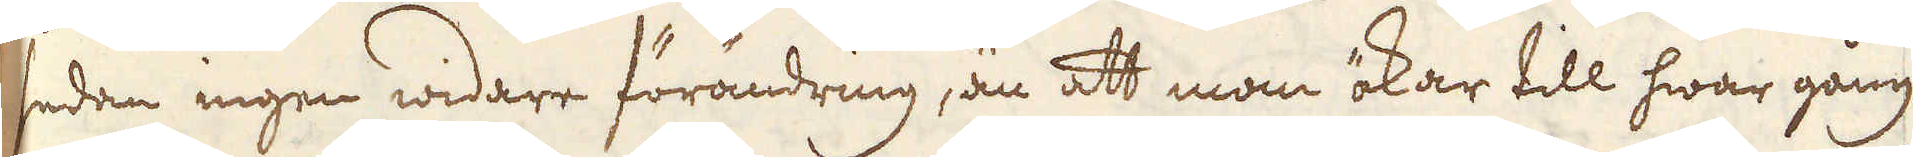sedan ingen widare förändring, än att man ökar till hwar gång
